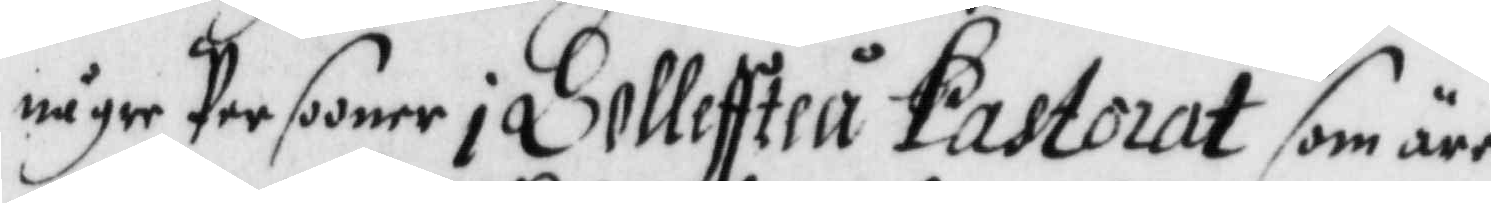någre Persooner i Solleffteå Pastorat som äre
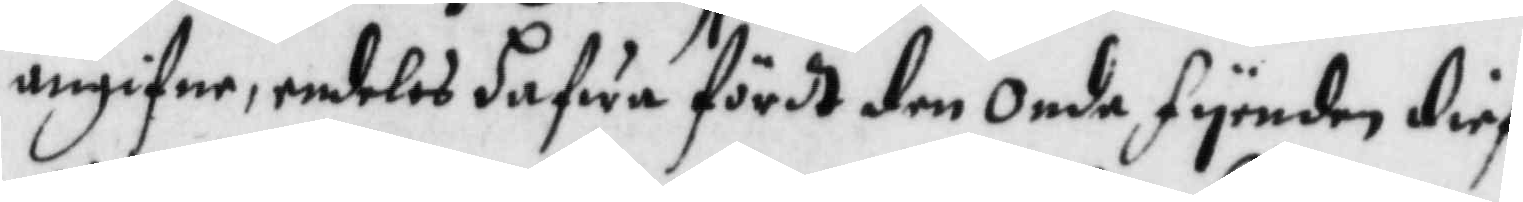angifne, endeles hafwa fördt den Onde fyenden Dief¬
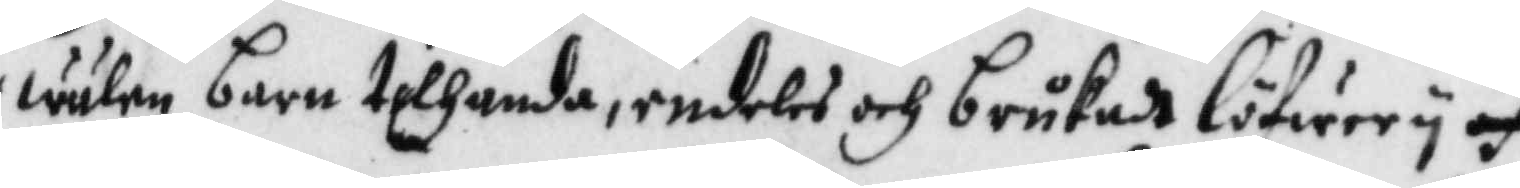wulen barn tilhand, endeles brukadt löfwery och
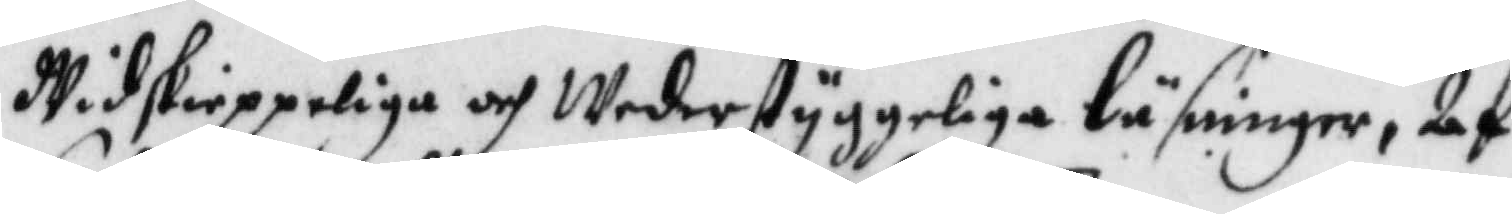Widskieppeliga och Wederstyggeliga läsninger, Af¬
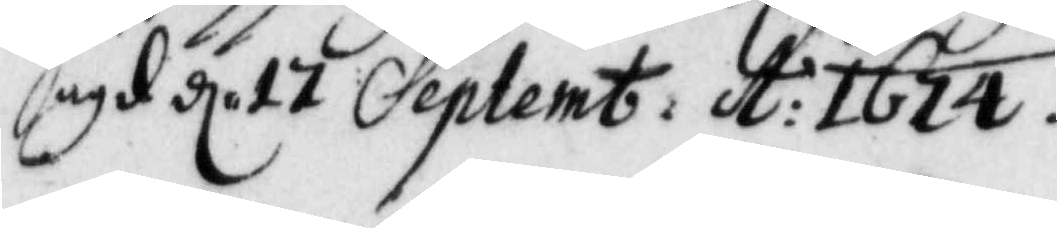sagd d 17 Septemb: A: 1674.
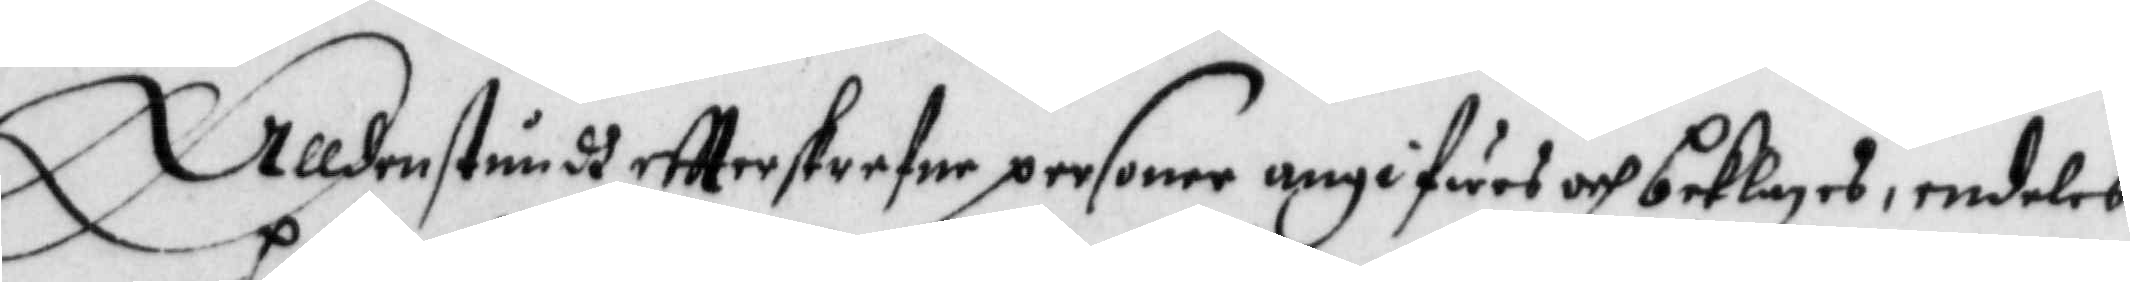Alldenstundh eftterskrefne personer angifwes och beklages, endeles
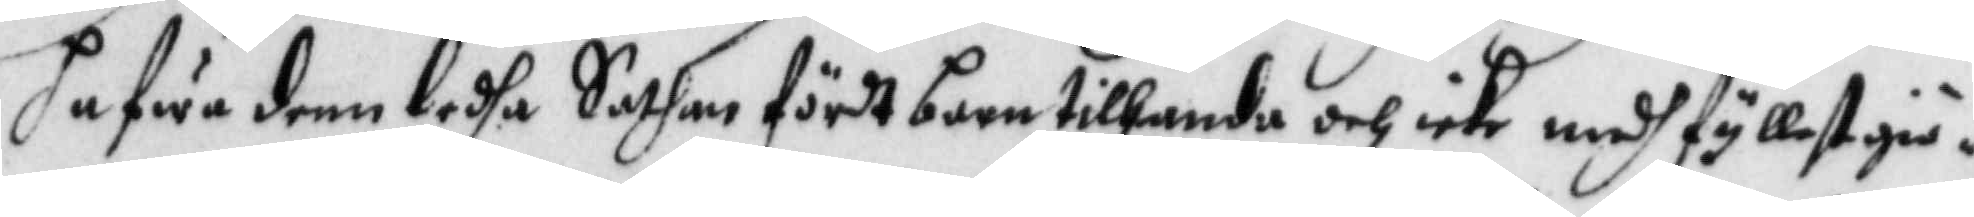hafwa denn ledha Sathan fördt barn tilhanda och icke medh fyllest giö¬
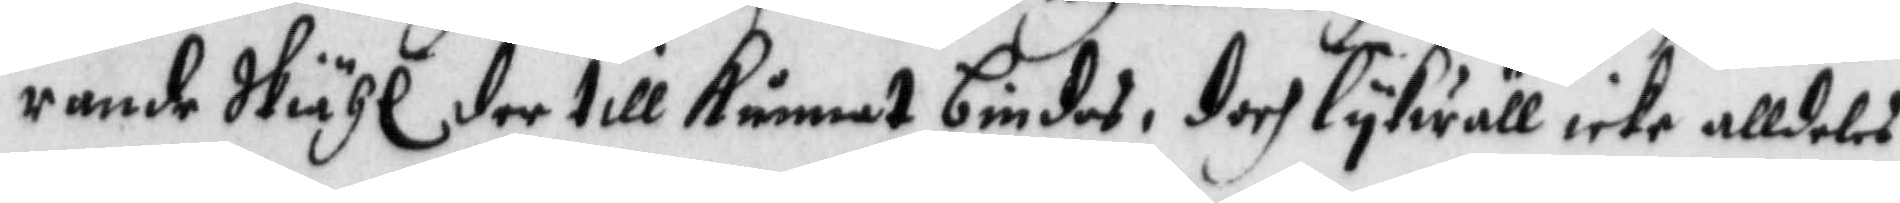rande Skiähl der till kunnat bindas, doch lykwäll icke alldeles
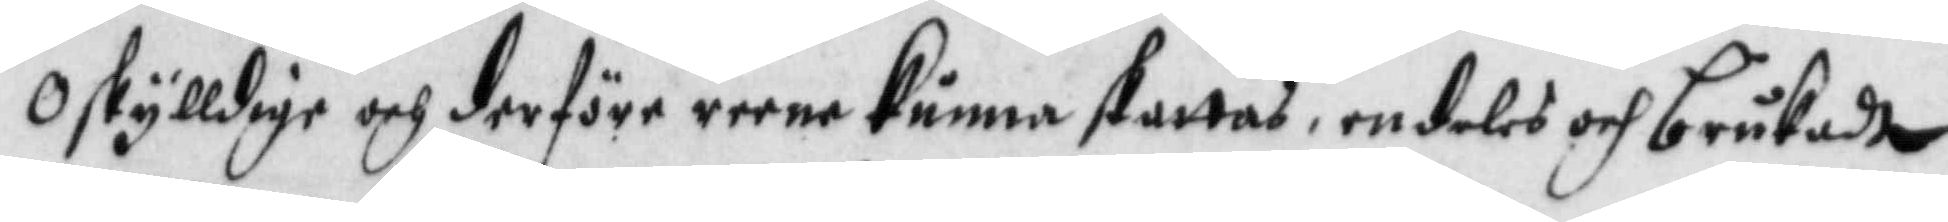oskylldige och derföre reena kunna skattas, endeles och brukadt
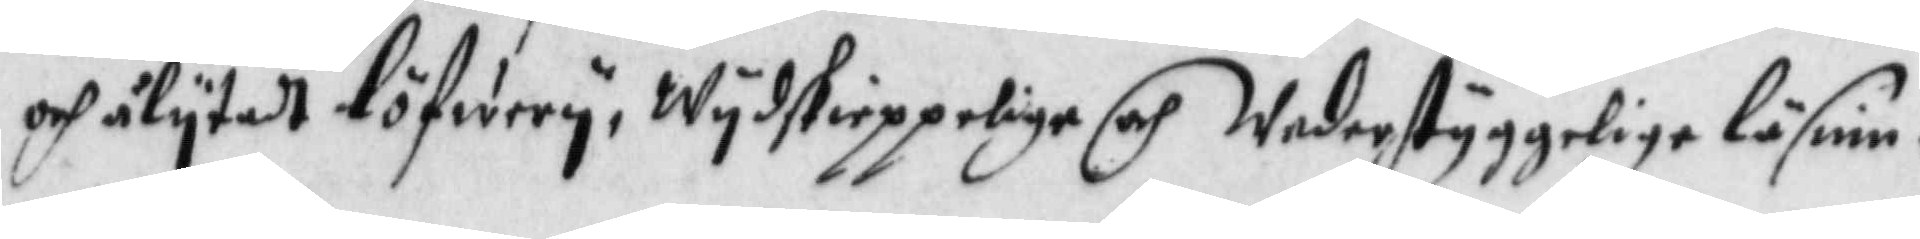och ålytadt löfwery, Wydskieppelige och Wederstyggelige läsnin
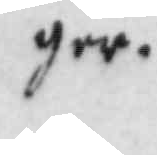ger. 
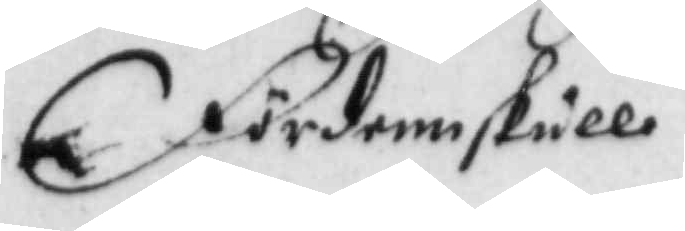Fördenskull
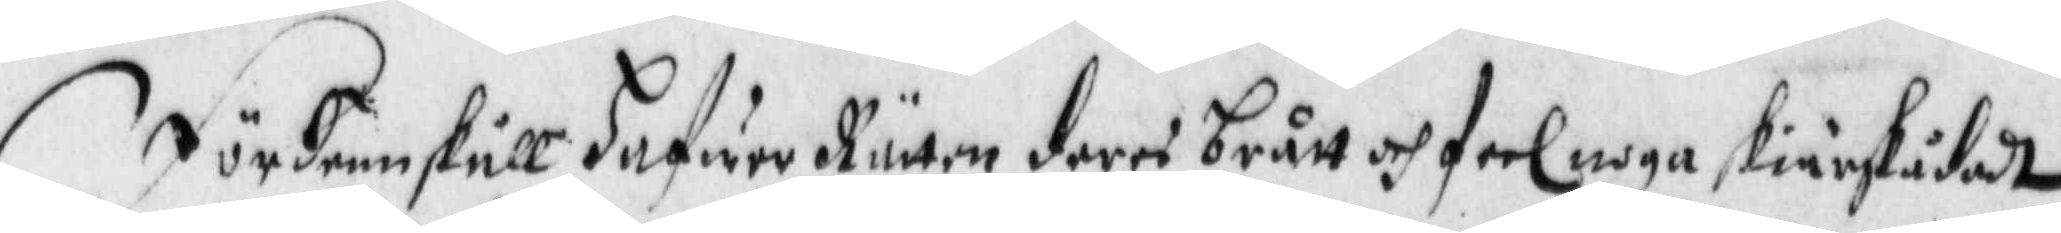fördenskull Hafwer Rätten deres brått och feel noga skiärskådadt
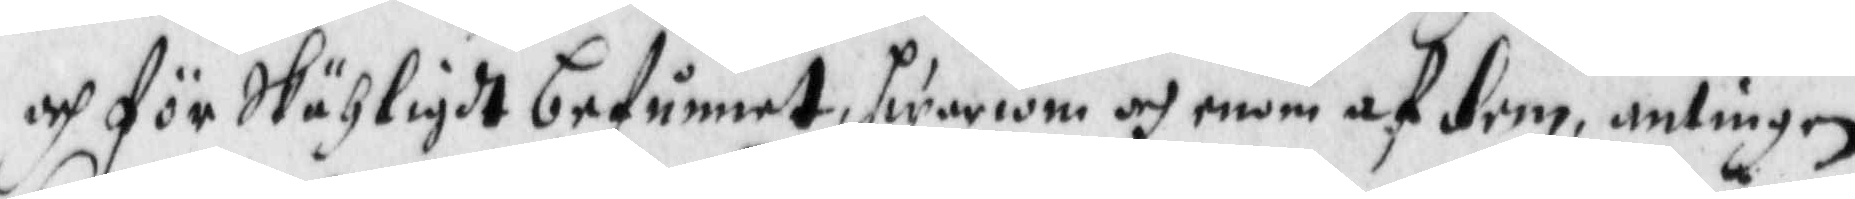och för Skähligdt befunnet, hwariom och enom af dem, antingen
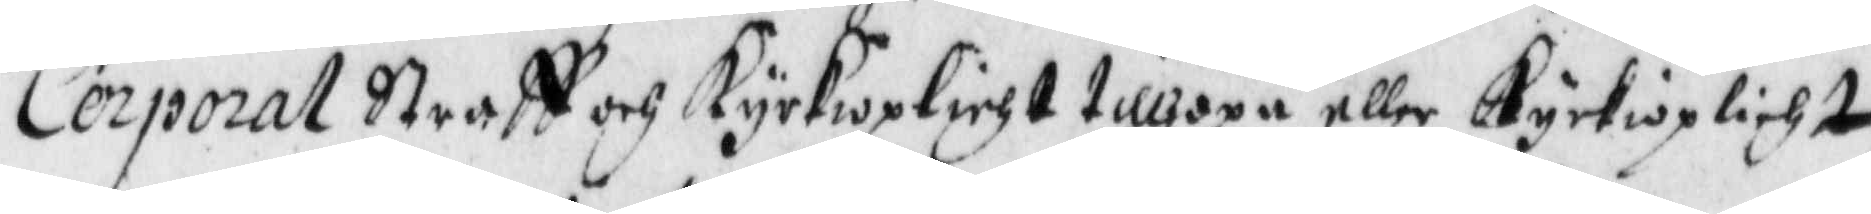Cerporal Straff och Kyrkioplicht tillhopa eller Kyrkioplicht
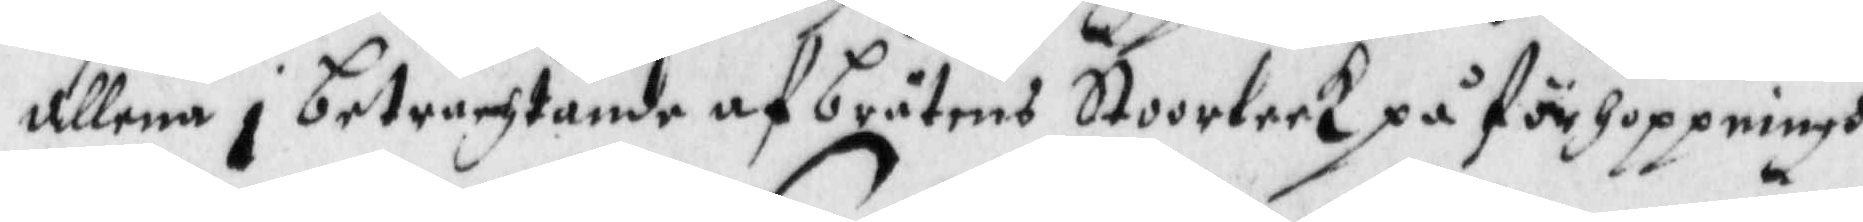allena i betrachtande af bråtens Stoorleek på förhoppningh
